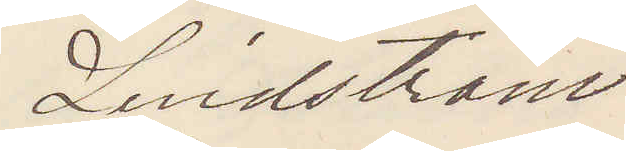Lindström
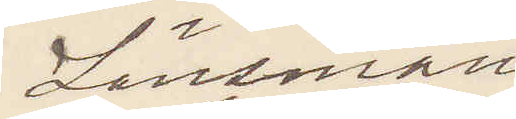Länsman
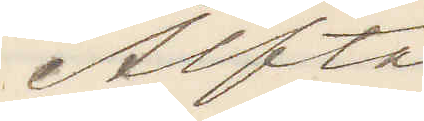Alfta
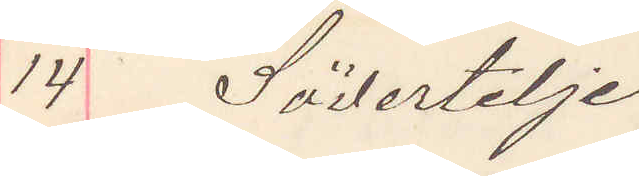14 Södertelje
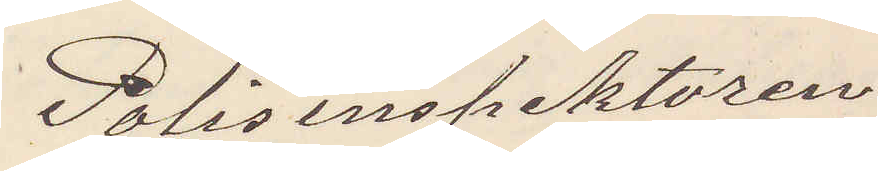Polisinspektoren
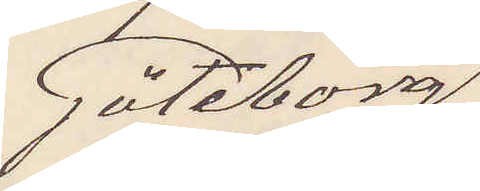Göteborg
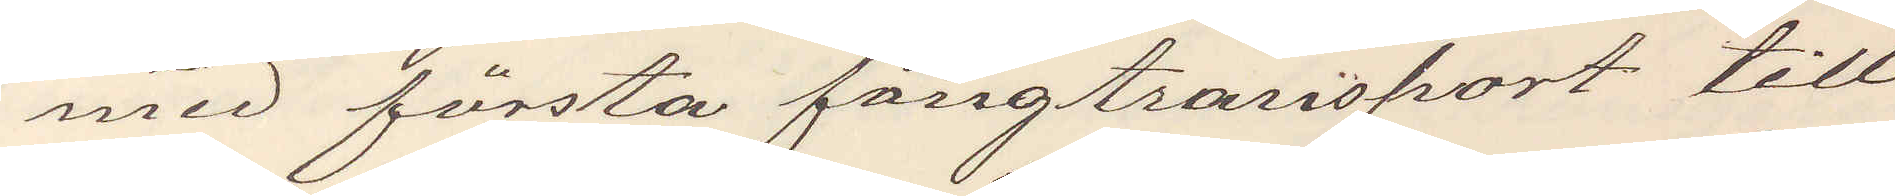med första fångtransport till
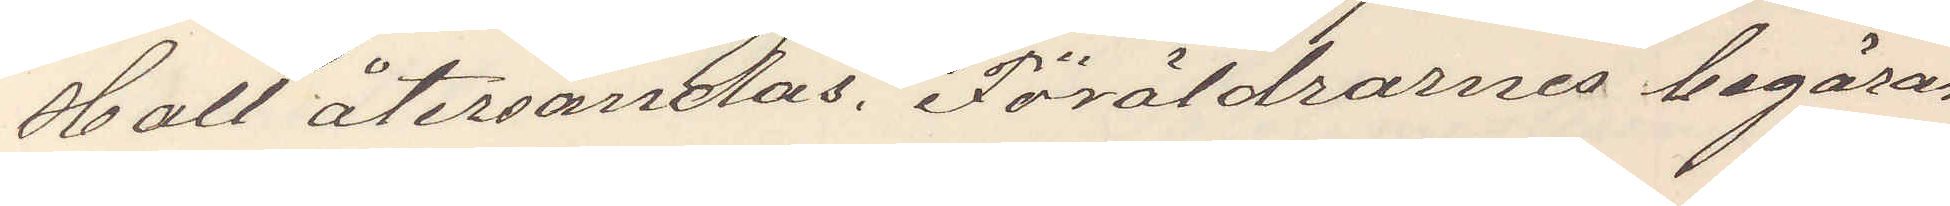Hall återsändas. Föräldrarnes begäran
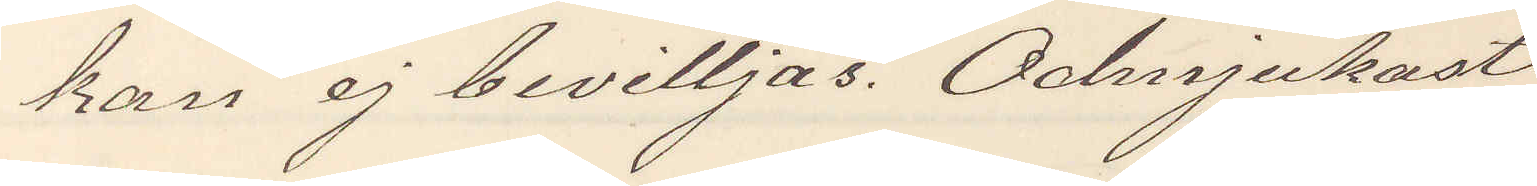kan ej bevilljas. Odmjukast
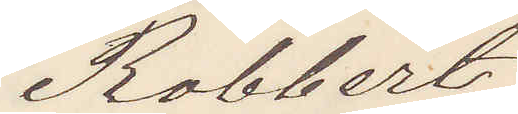Robbert
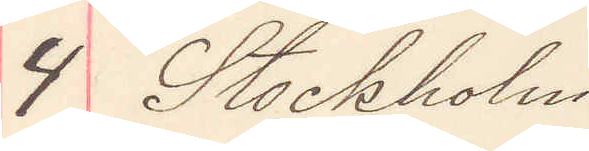4 Stockholm
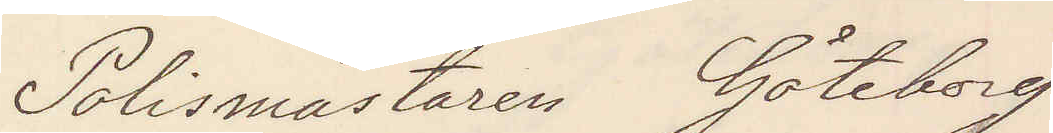Polismästaren Göteborg
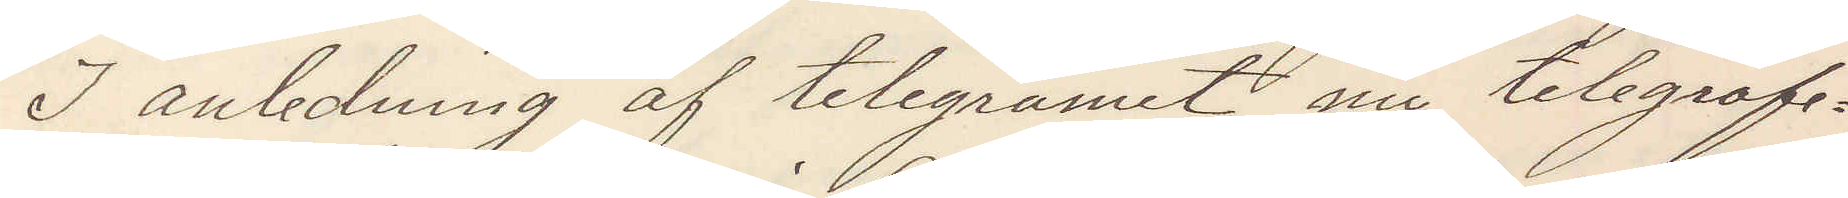I anledning af telegramet nu telegrafe¬
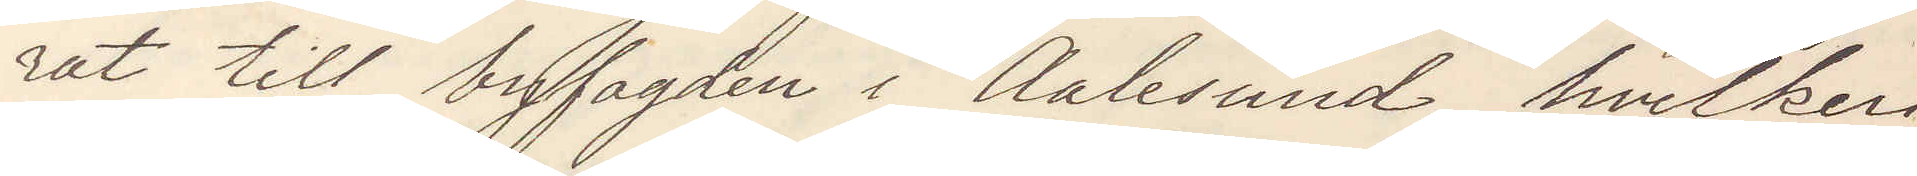rat till byfogden i Aalesund, hvilken
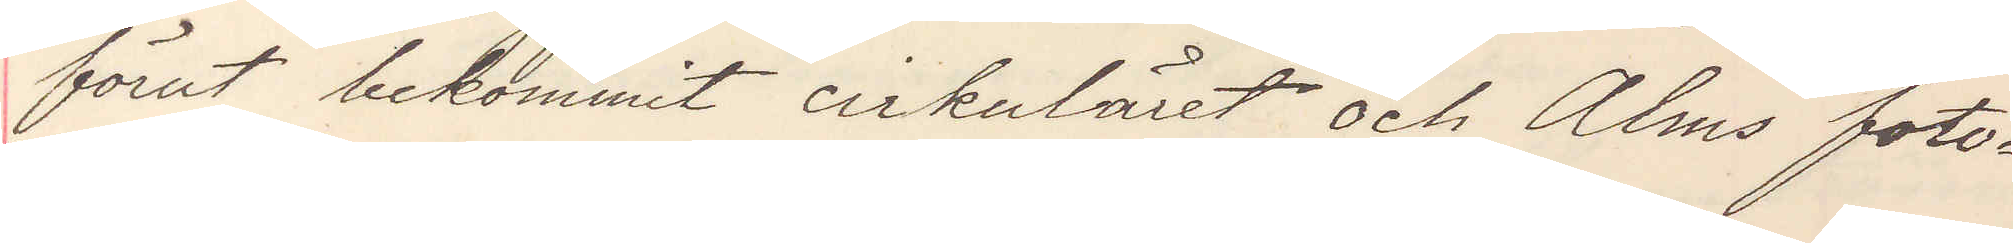förut bekommit cirkuläret och Alms foto¬
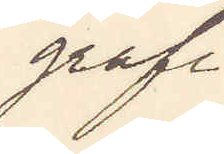grafi
